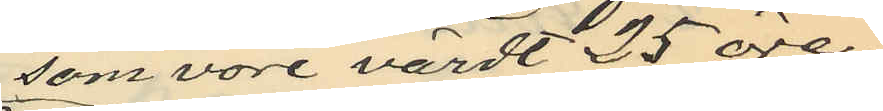som vore värdt 25 öre
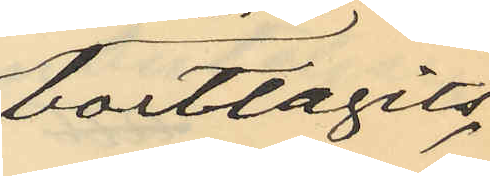borttagits
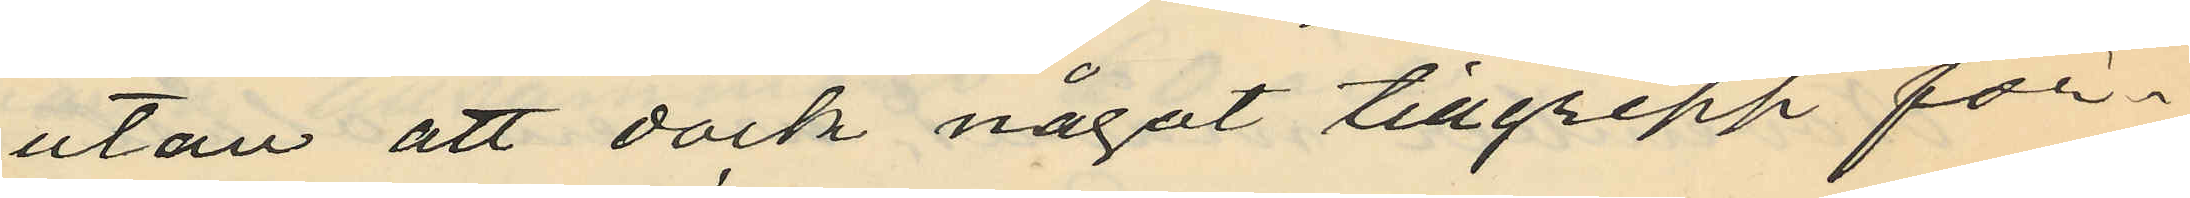utan att dock något tillgrepp för¬
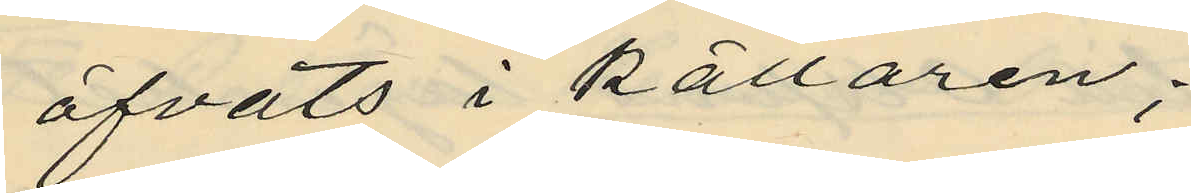öfvats i källaren;
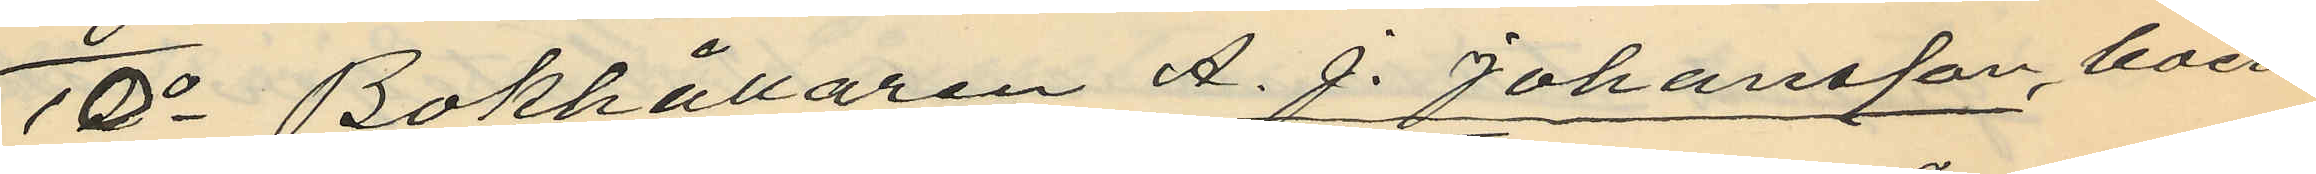10o Bokhållaren A. J. Johansson, boen¬
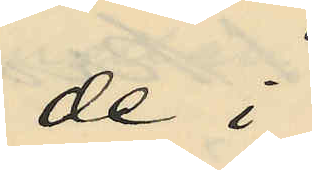de i
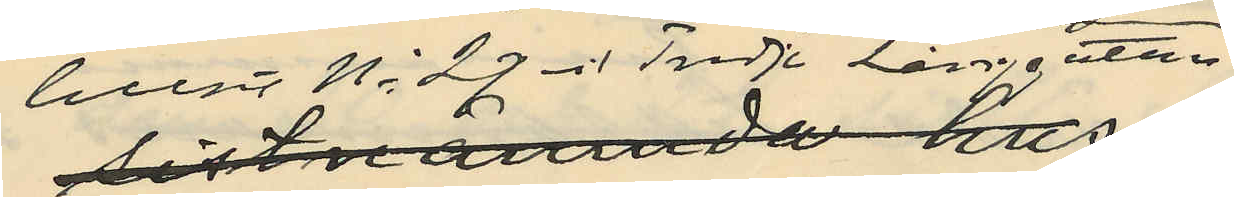huset No 27 vid Tredje Långgatan
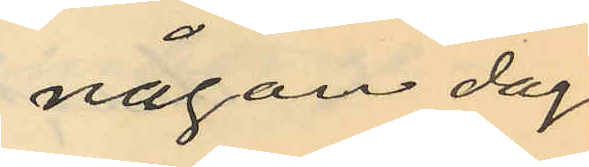någon dag
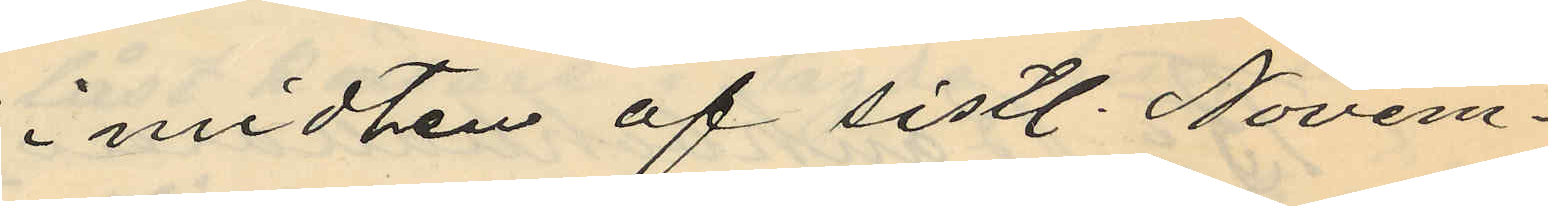i midten af sistl. Novem¬
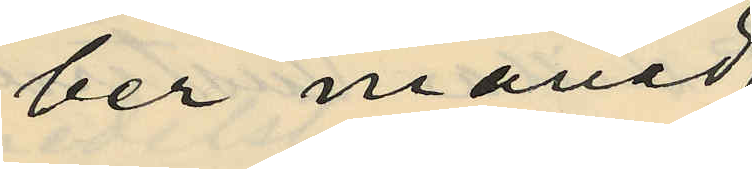ber månad
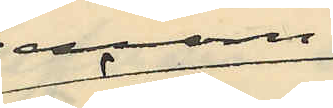genom
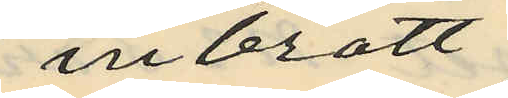inbrott
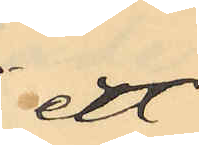ett
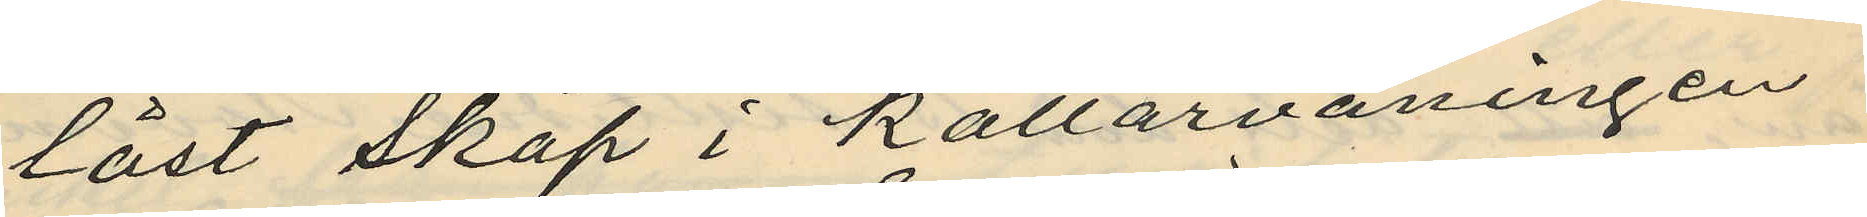låst skåp i källarvåningen
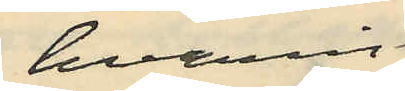hvarvid
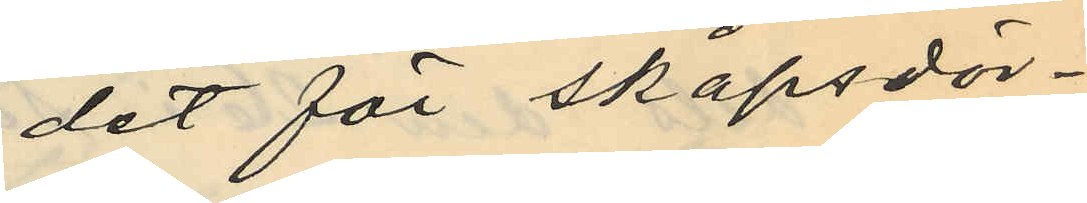det för skåpsdör¬
